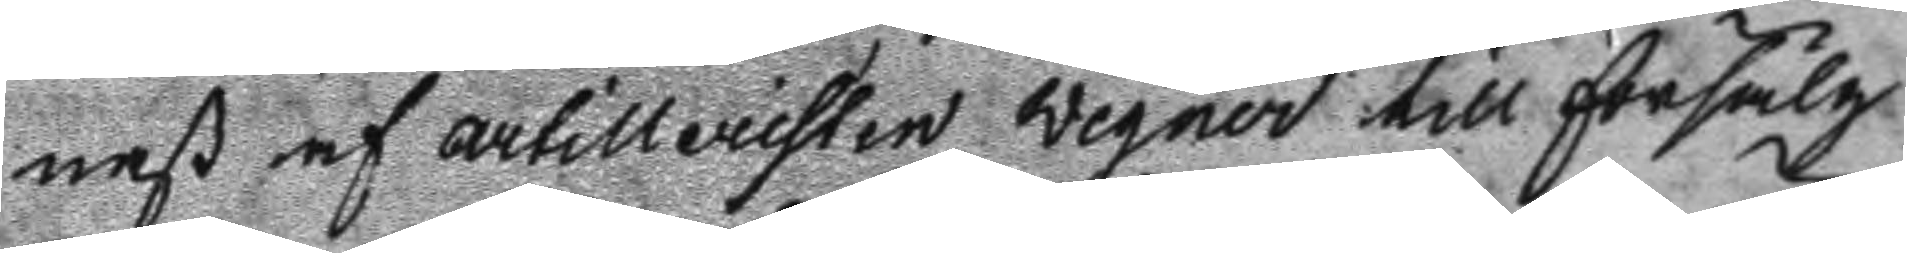nast af artilleristen Wegner till försälg
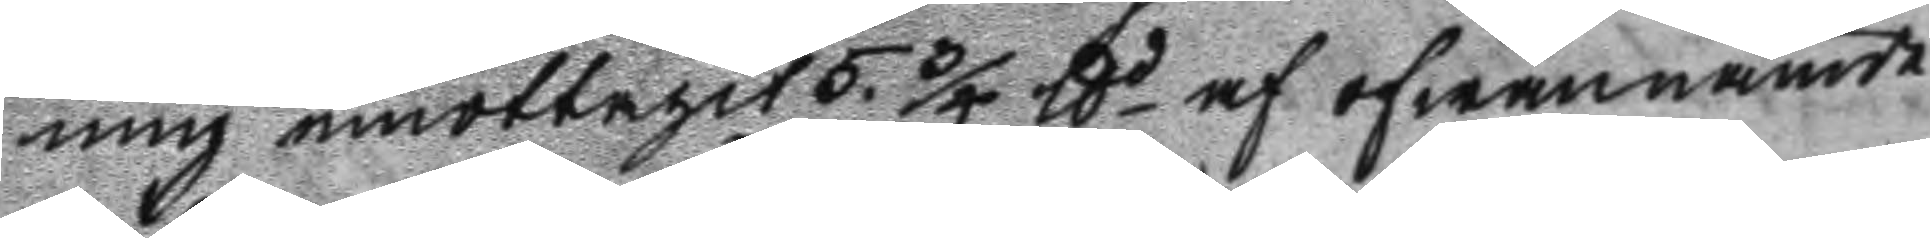ning emottagit 5. 3/4 ttd af ofwannämde
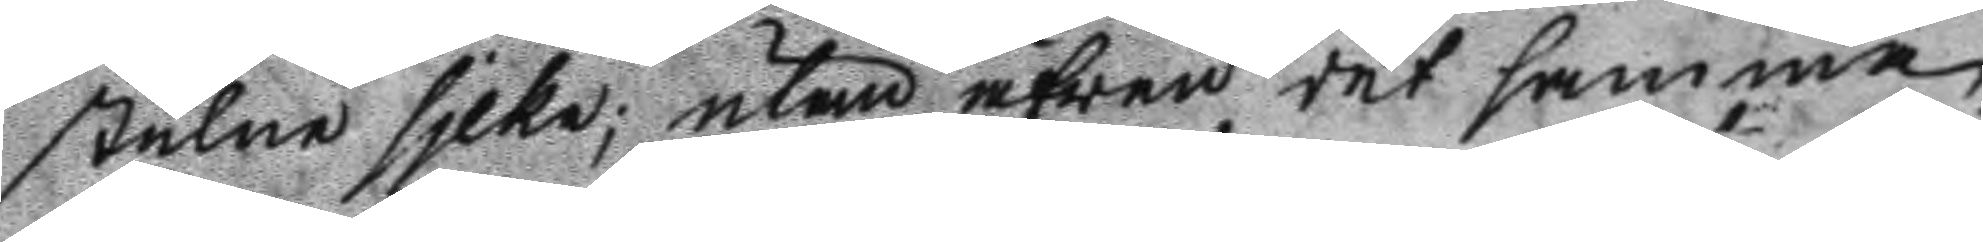stulne sjlke; utan äfwen det samma
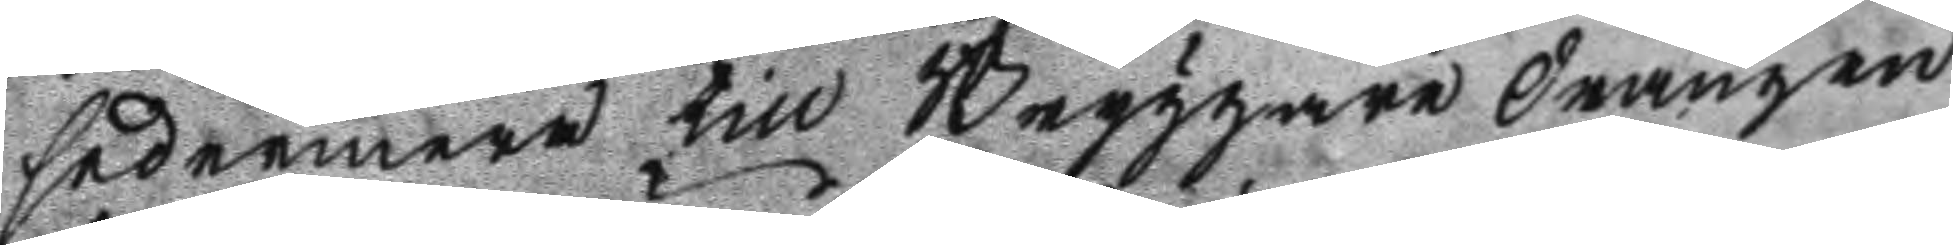sedermera till Bryggare drängen
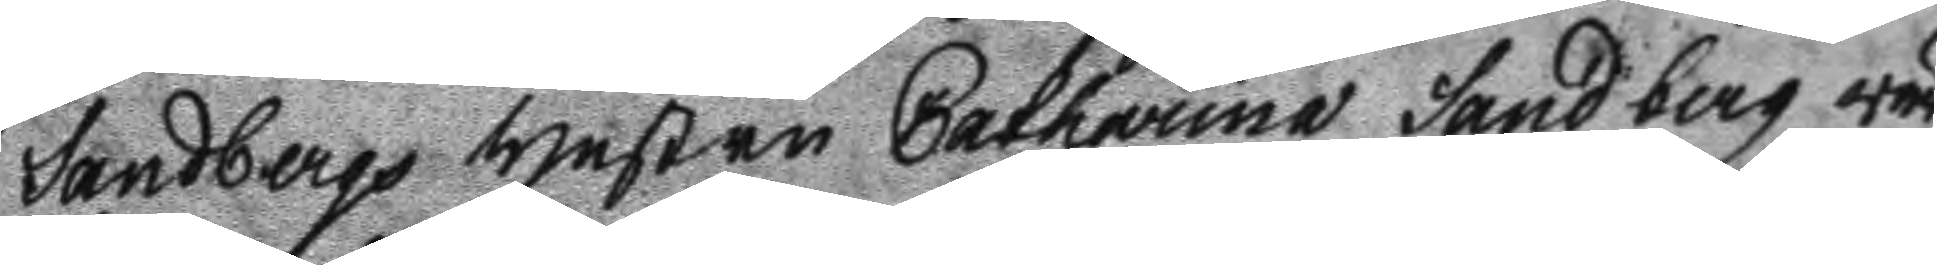Sandbergs Hustru Catharina Sandberg wär
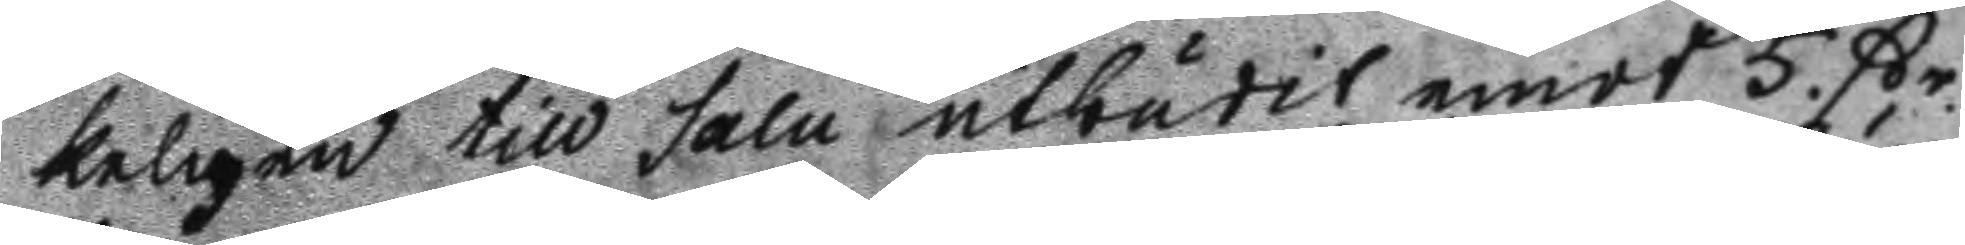keligen till salu utbudit emot 5. ßr.
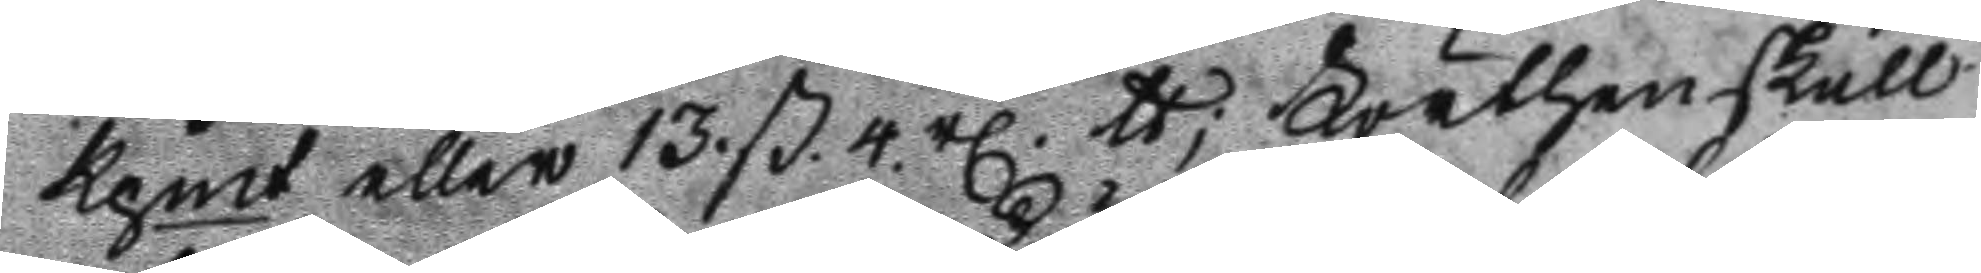Kpmt eller 13. ß. 4. rl. tt Förthenskull
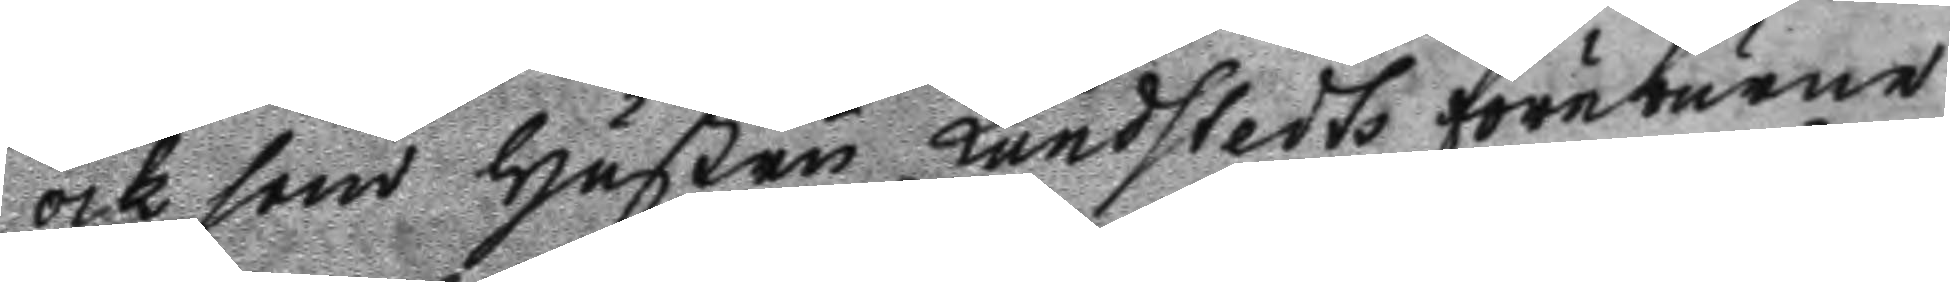ock som Hustru Lundstedts föreburne
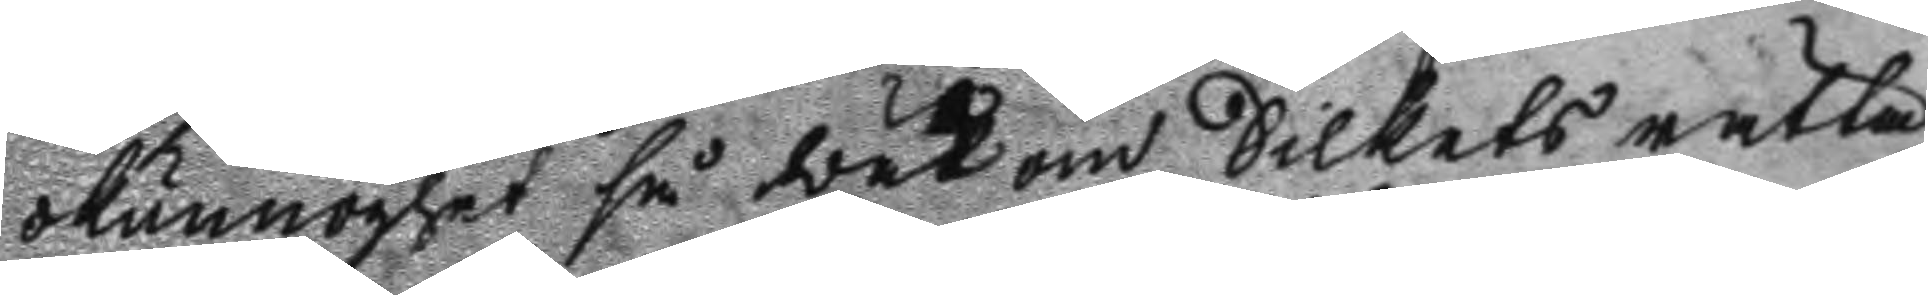okunnoghet så wäl om Silkets rätta
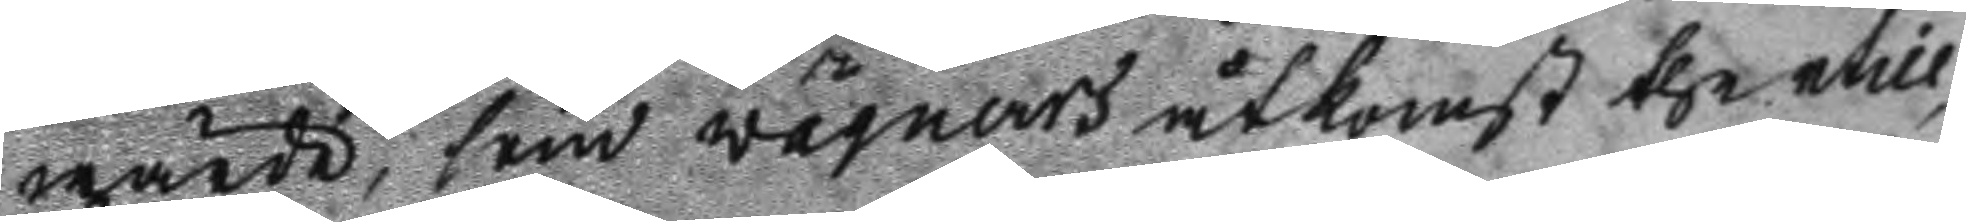wärde, som wägners åtkomst thertill
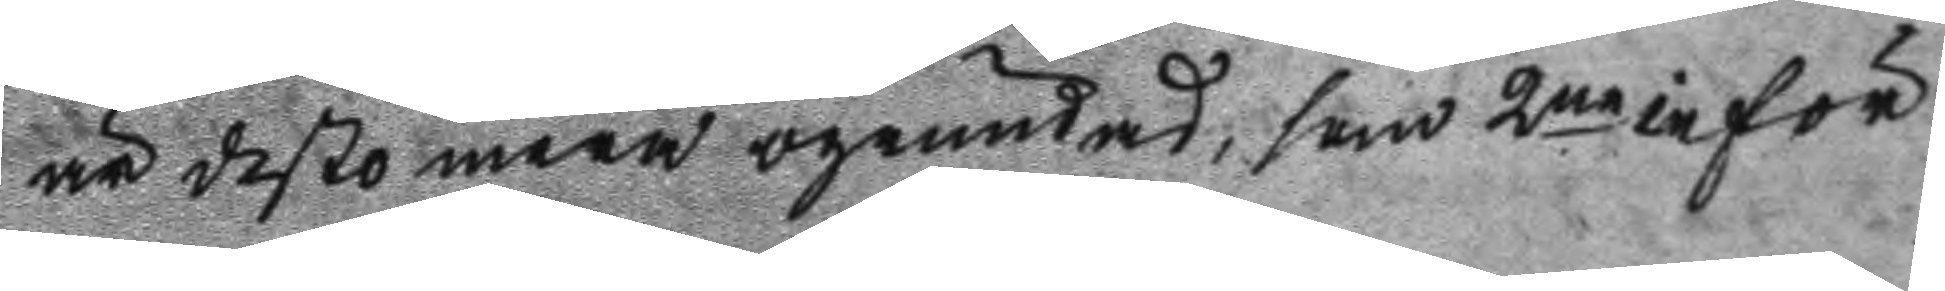är desto mera ogrundad, som 2ne inför
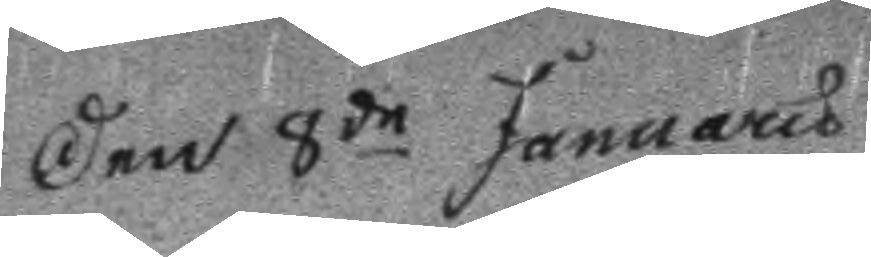Den 8de Januaru
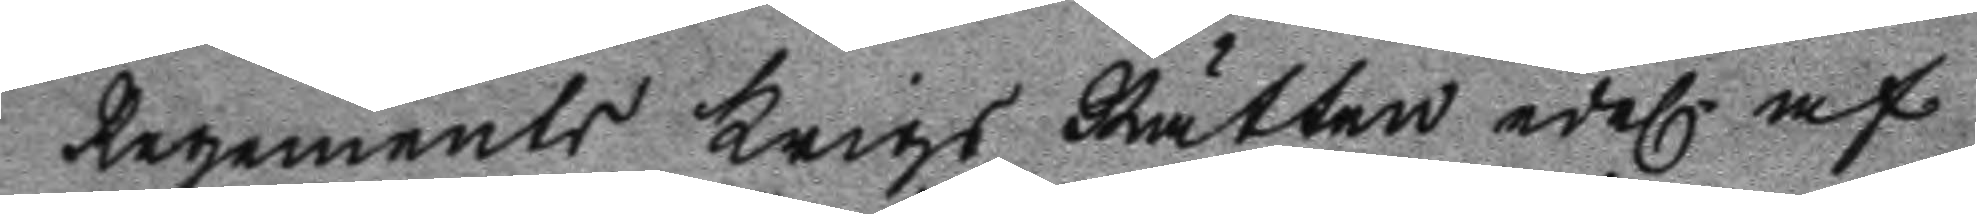Regements Krigs Rätten edel. af
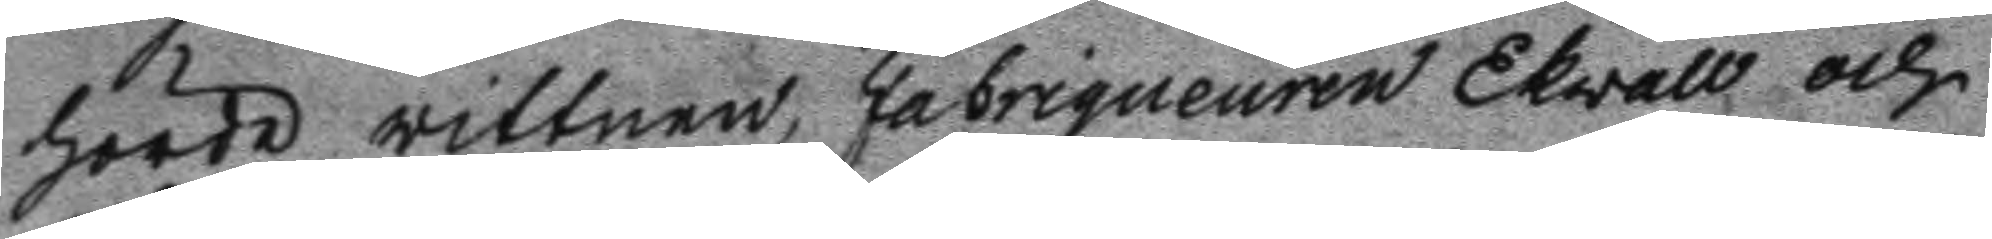hörde wittnen, Fabriqueuren Ekwall och
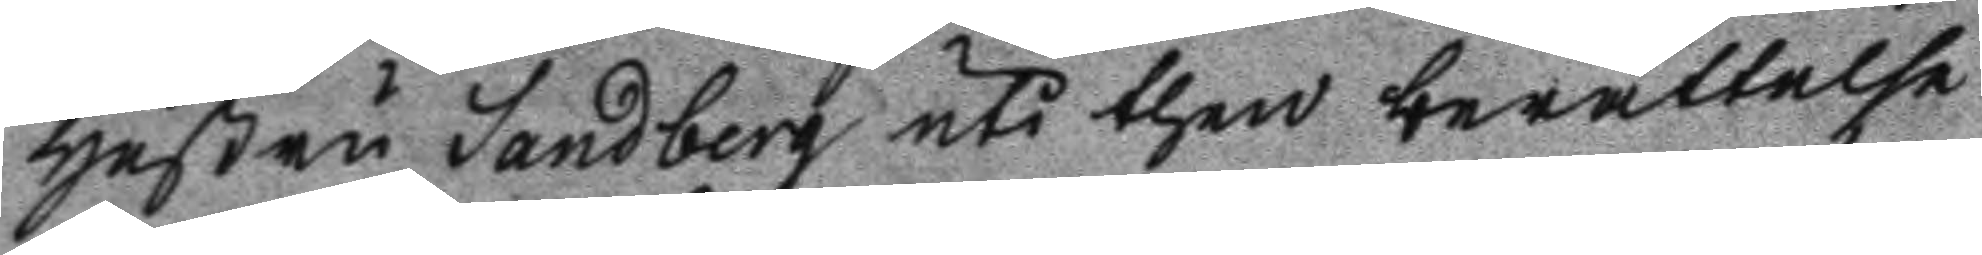Hustru Sandberg uti then berättlese
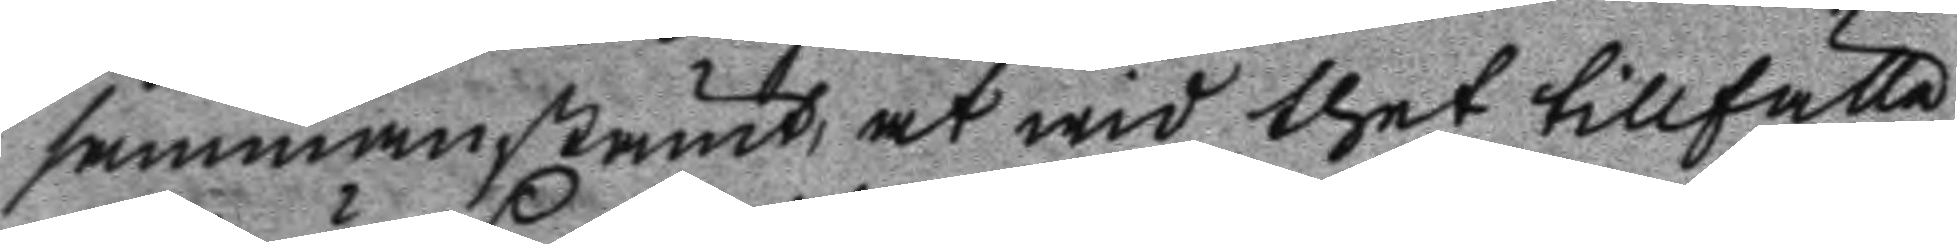sammanstämt, at wid thet tillfälle
